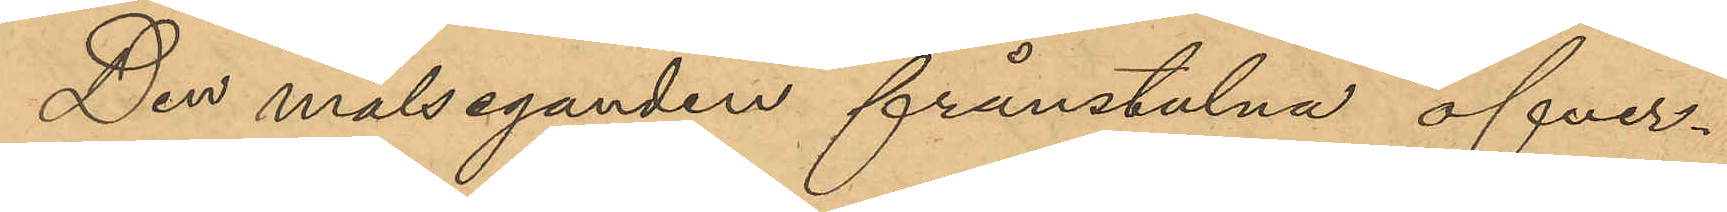Den målseganden frånstulna öfver¬
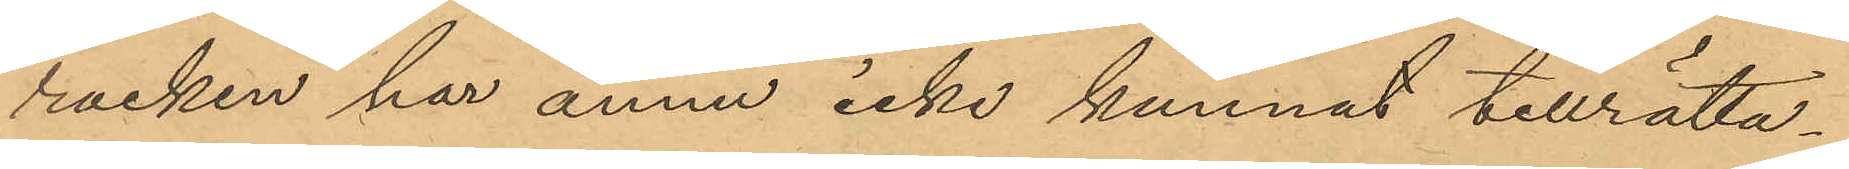rocken har ännu icke kunnat tillrätta¬
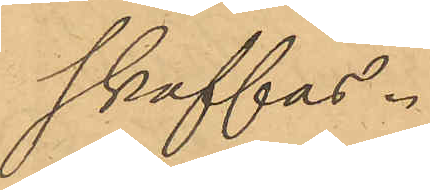skaffas.
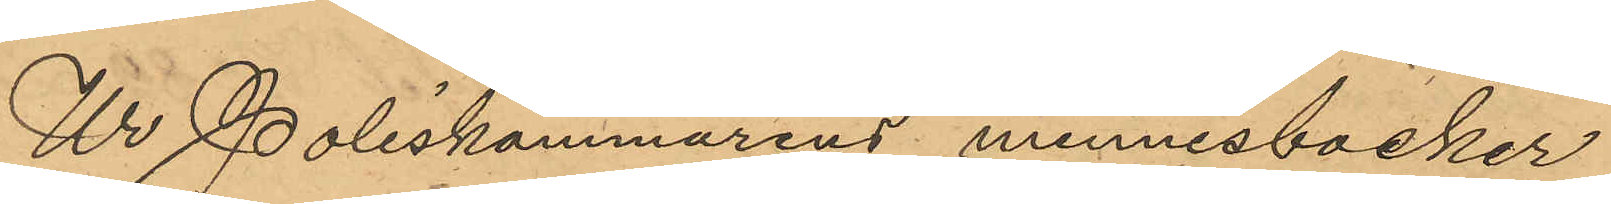Ur Poliskammarens minnesböcker
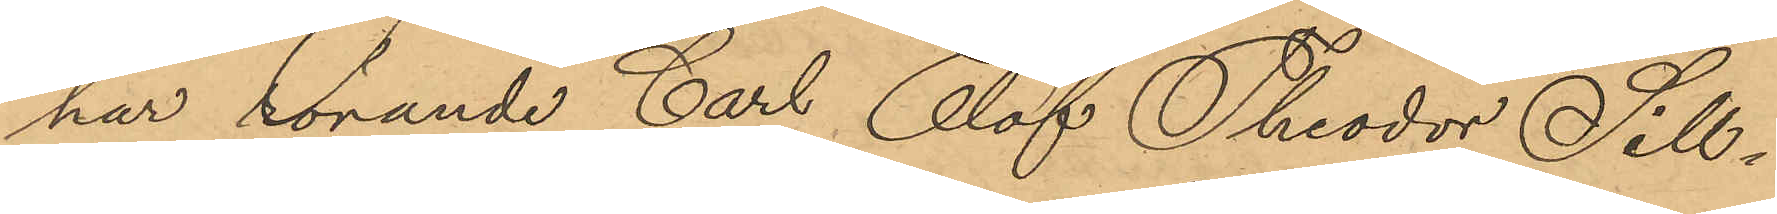har rörande Carl Olof Theodor Sill¬
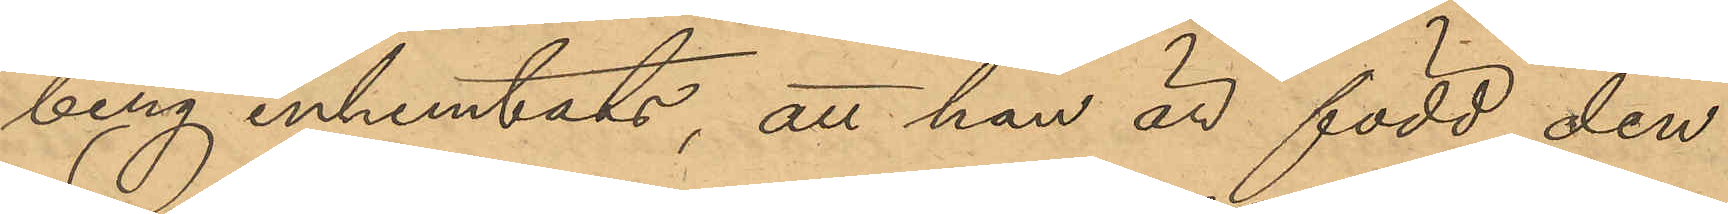berg inhemtats, att han är född den
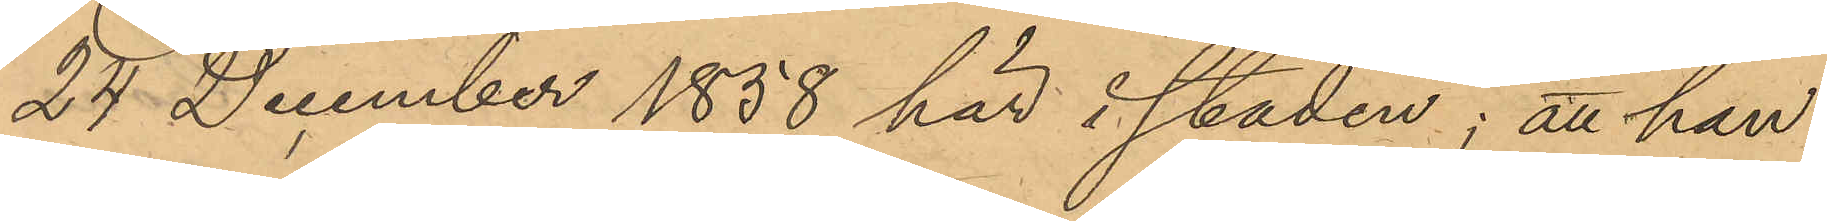24 December 1858 här i staden; att han
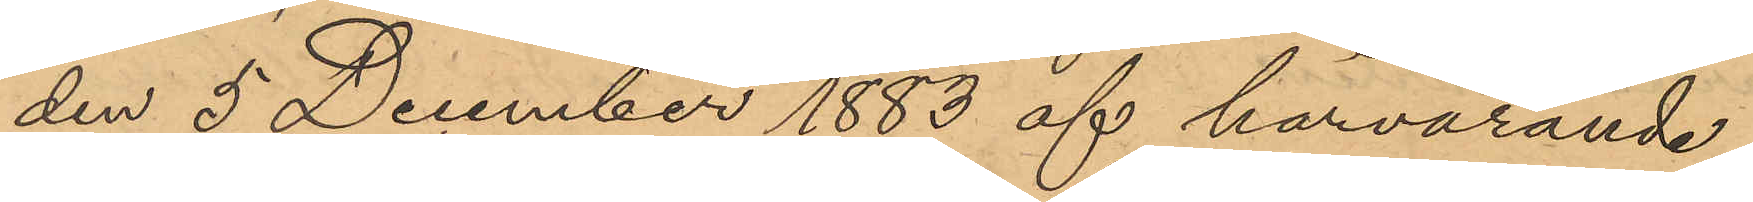den 5 December 1883 af härvarande
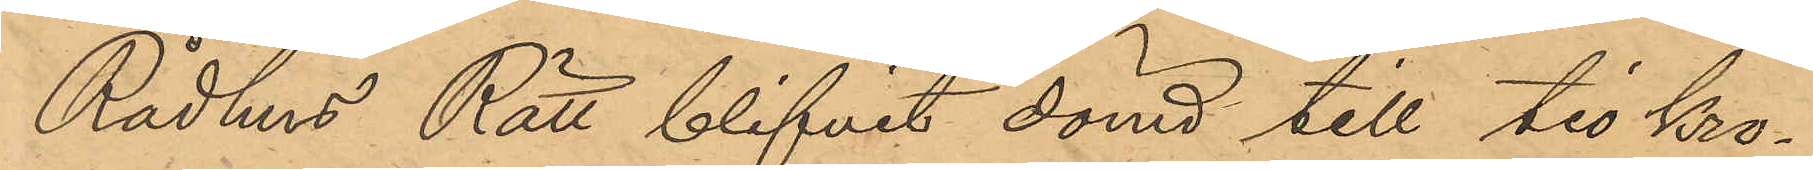Rådhus Rätt blifvit dömd till tio kro¬
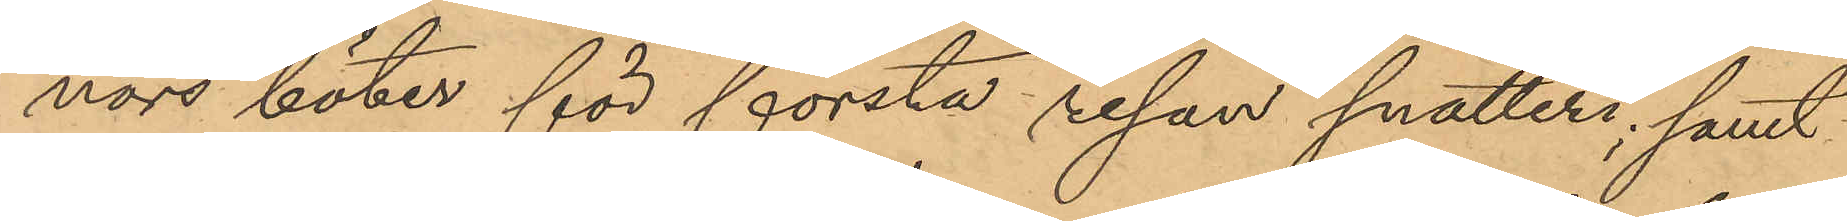nors böter för första resan snatteri; samt
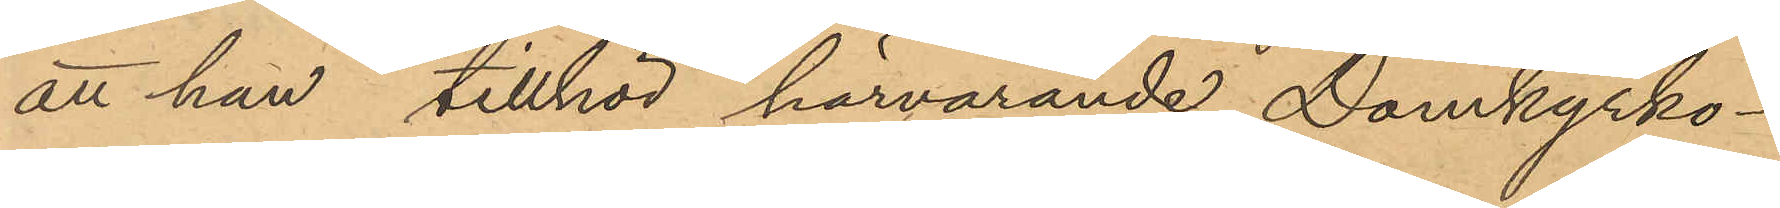att han tillhör härvarande Domkyrko¬
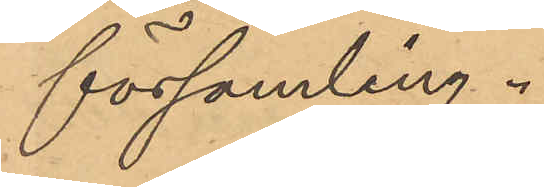församling.
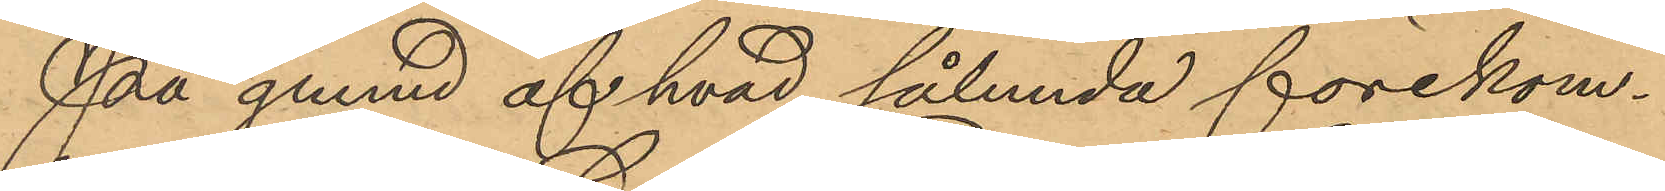På grund af hvad sålunda förekom¬
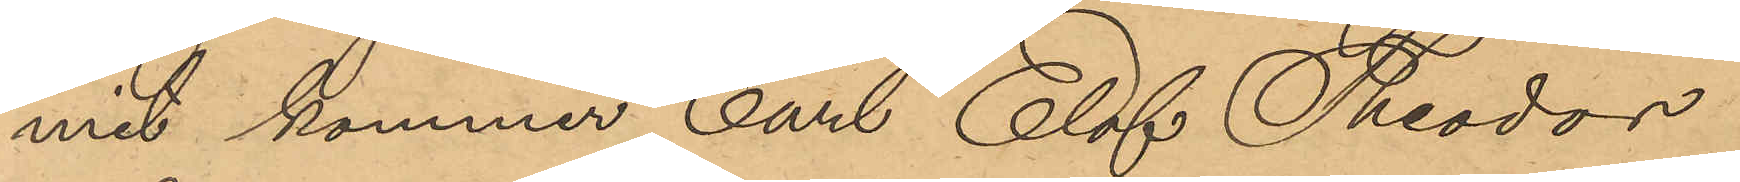mit kommer Carl Olof Theodor
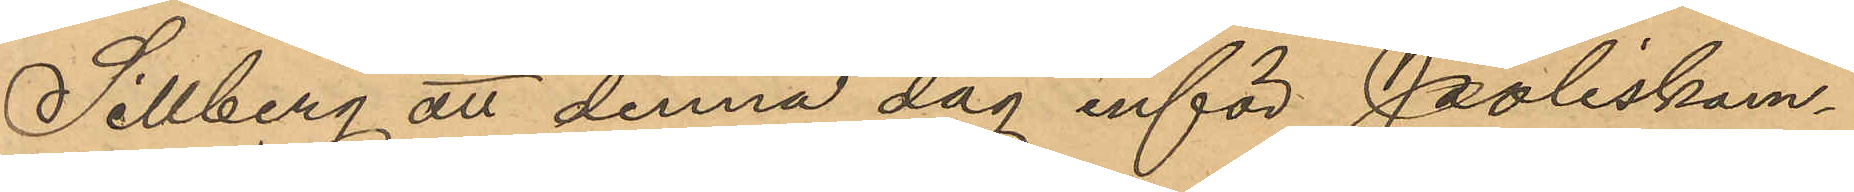Sillberg att denna dag inför Poliskam¬
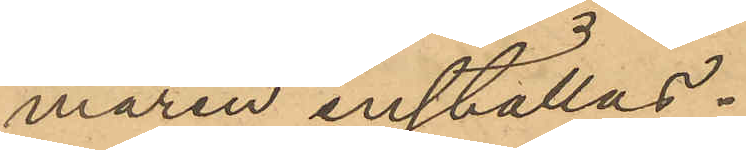maren inställas.
